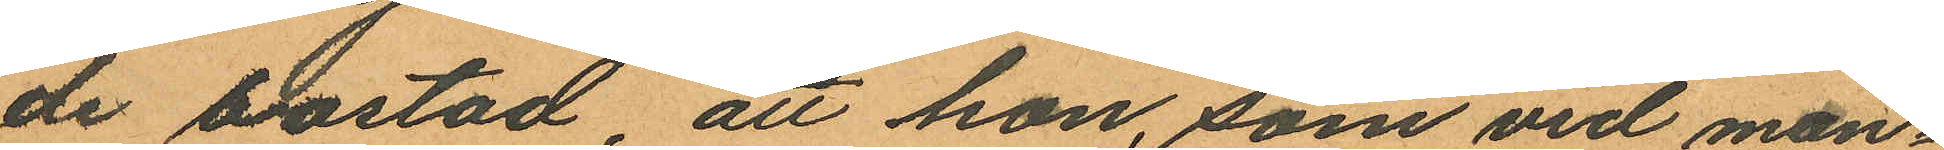de bostad, att hon, som vid man¬
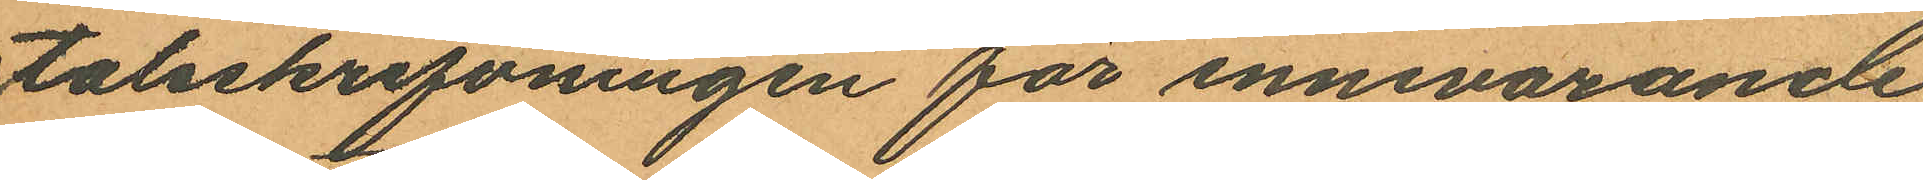talsskrifvningen för innevarande
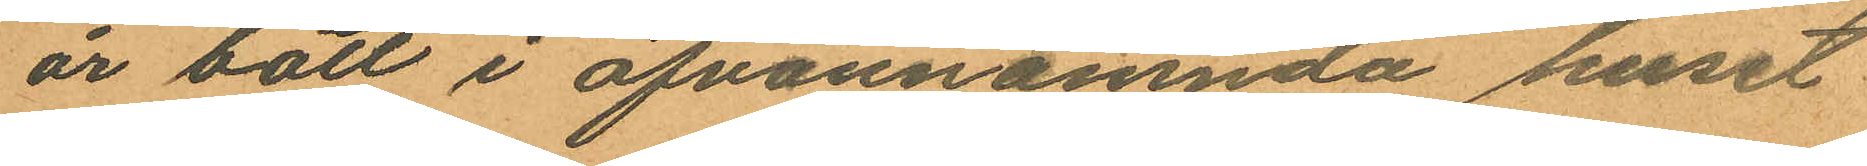år bott i ofvannämnda huset
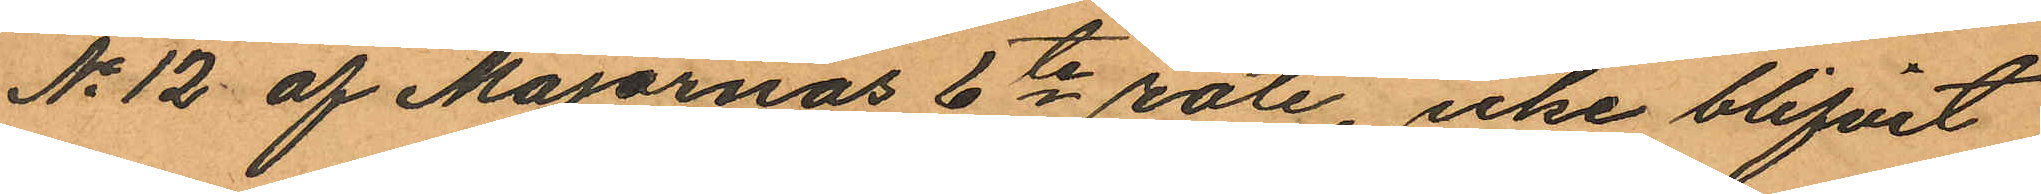No 12 af Majornas 6te rote, icke blifvit
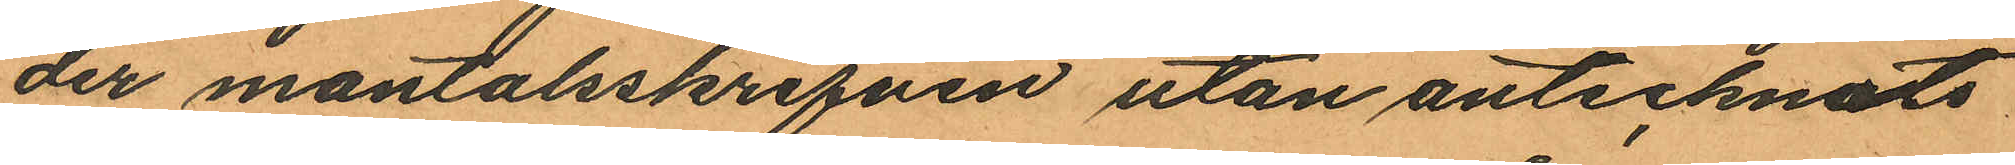der mantalsskrifven utan antecknats
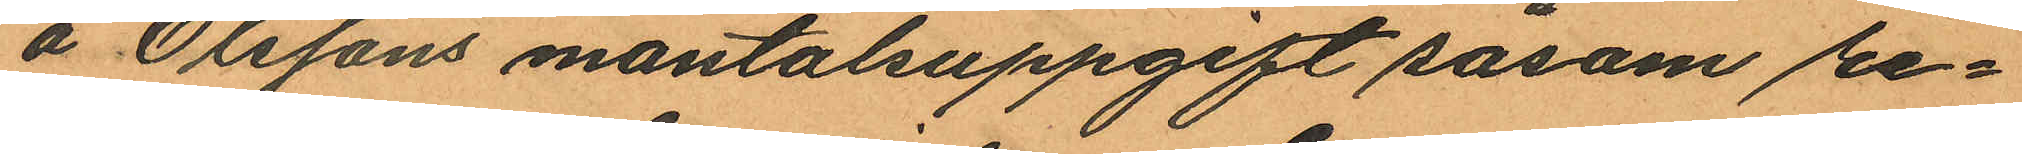å Olssons mantalsuppgift såsom re¬
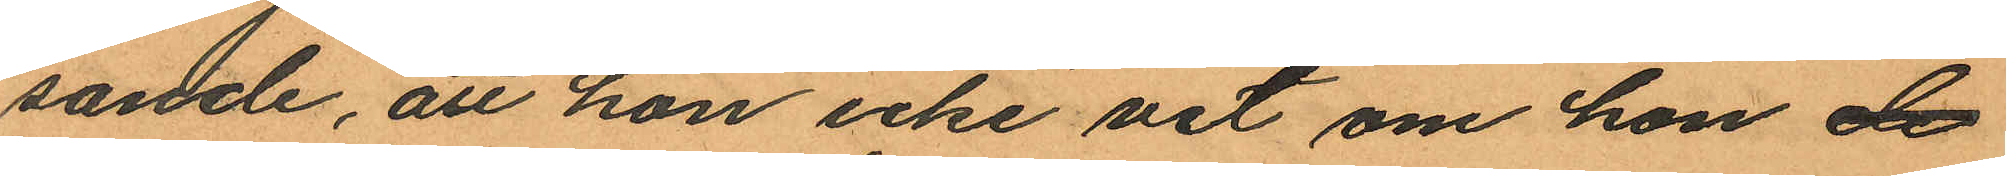sande, att hon icke vet om hon de
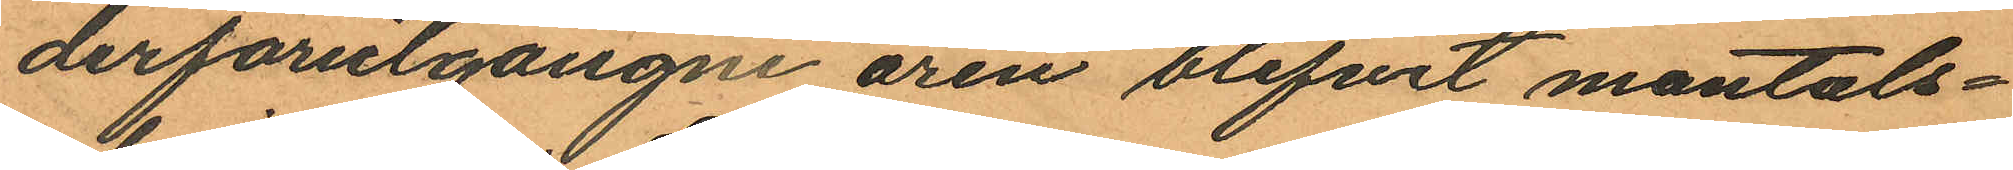derförutgångne åren blifvit mantals¬
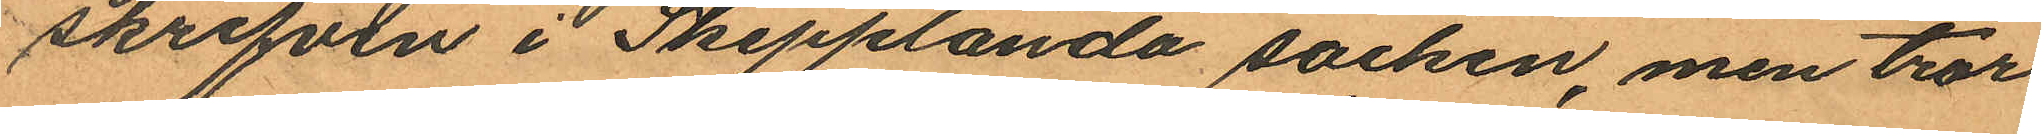skrifven i Skepplanda socken, men tror
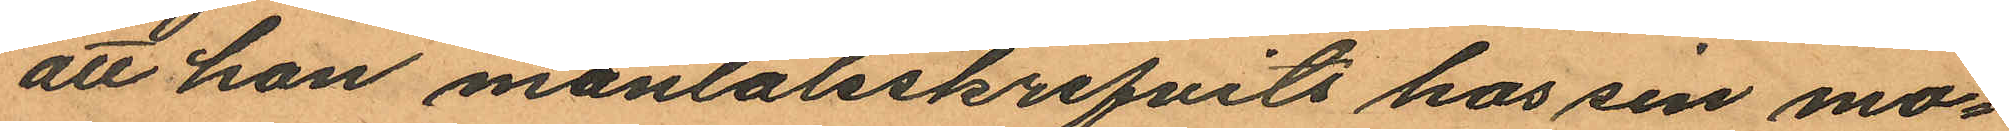att hon mantalsskrifvits hos sin mo¬
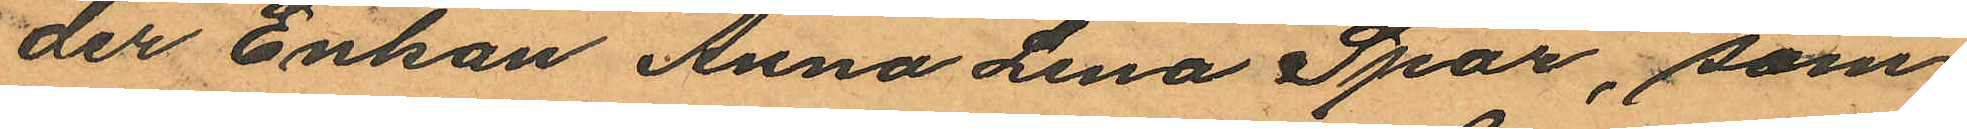der Enkan Anna Lena Spar, som
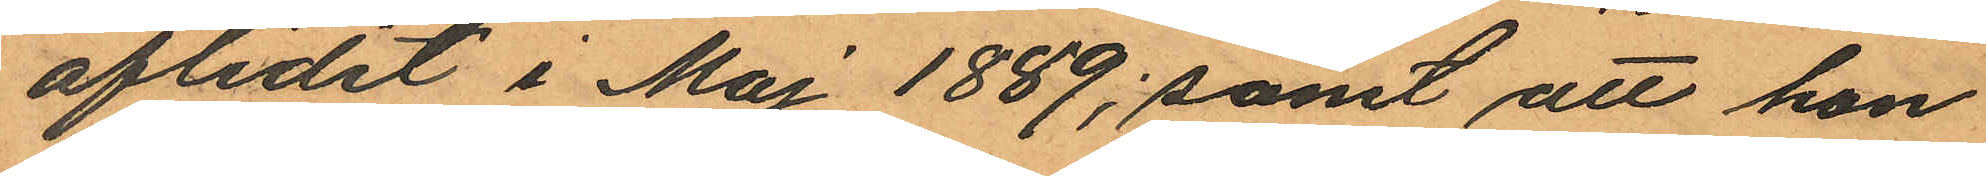aflidit i Maj 1889; samt att hon
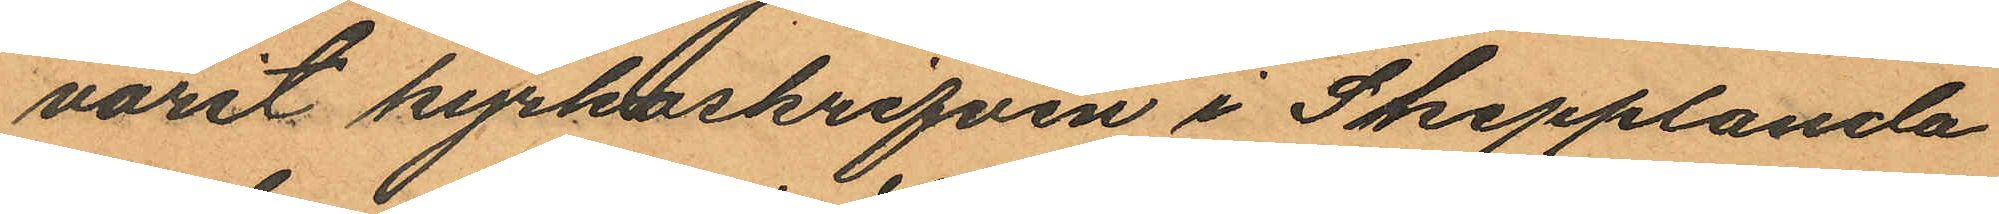varit kyrkoskrifven i Skepplanda
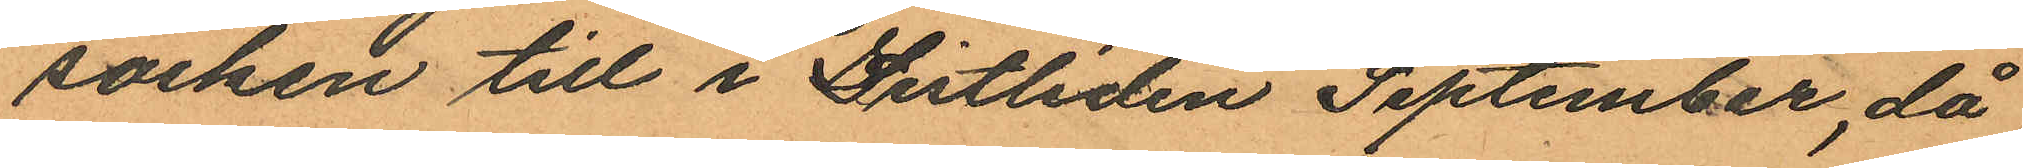socken till i sistliden September, då
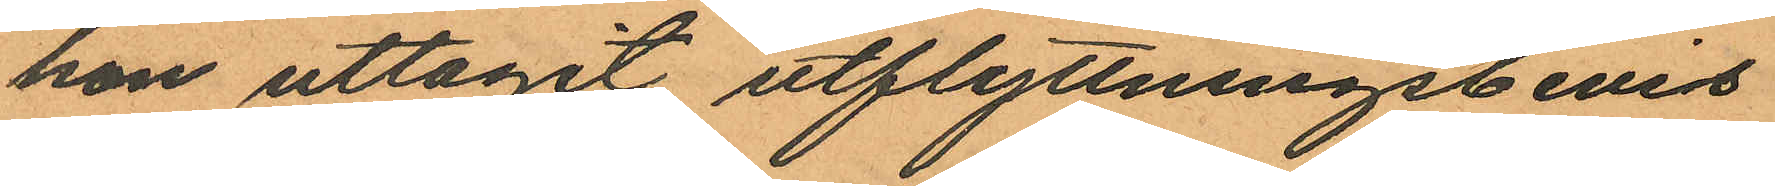hon uttagit utflyttningsbevis
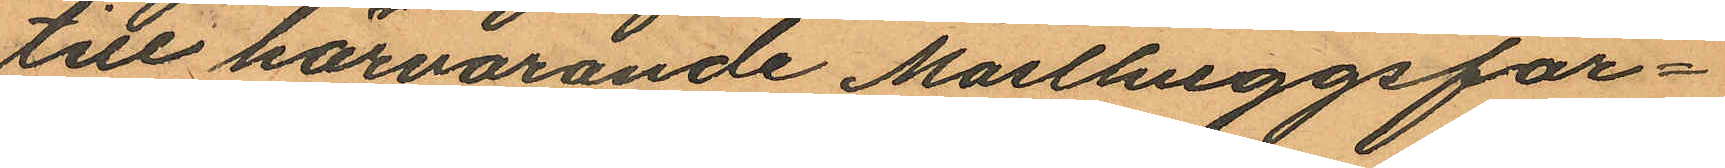till härvarande Masthuggsför¬
